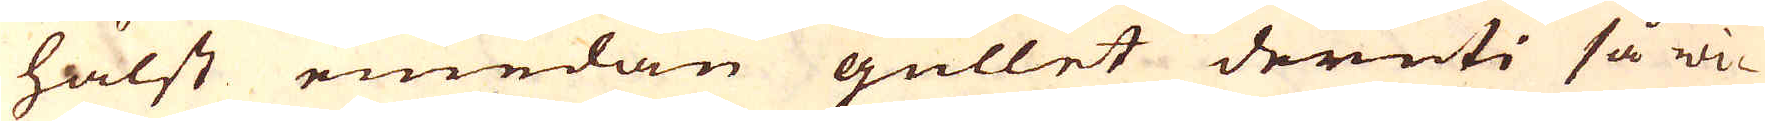hälst emedan gullet deruti så wi-
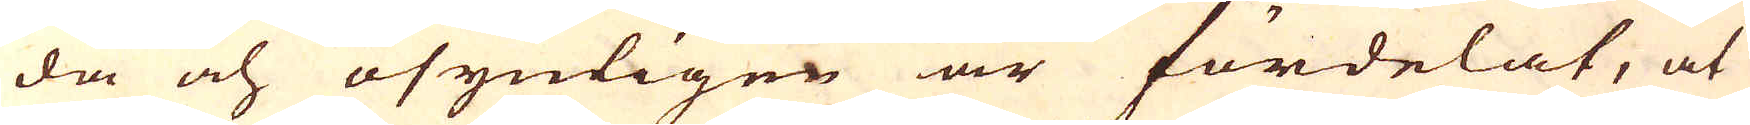da och osynligen är fördelat, at
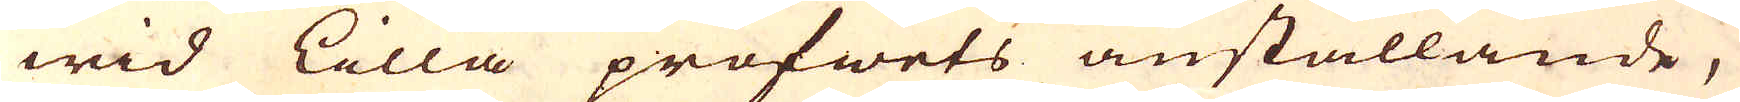wid lilla profwets anställande,
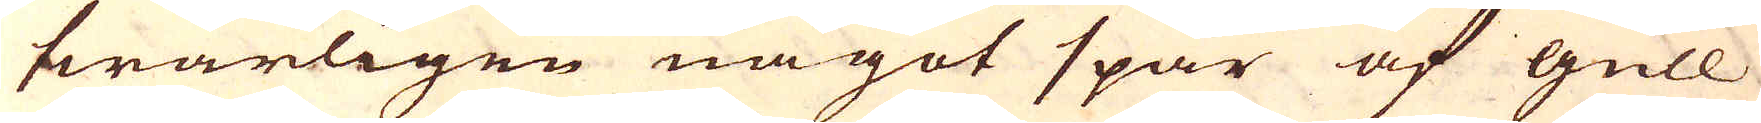swårligen något spår af gull
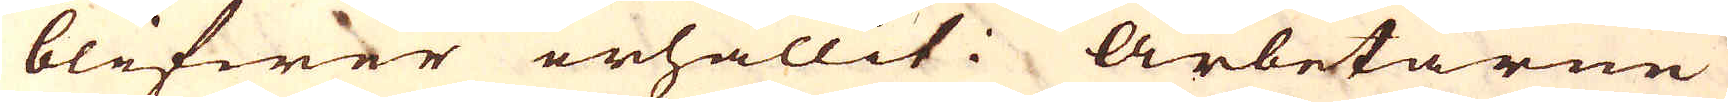blifwer erhållit. Arbetarne
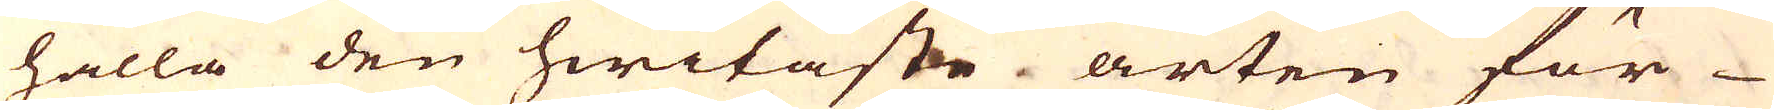hålla den hwitaste arten för
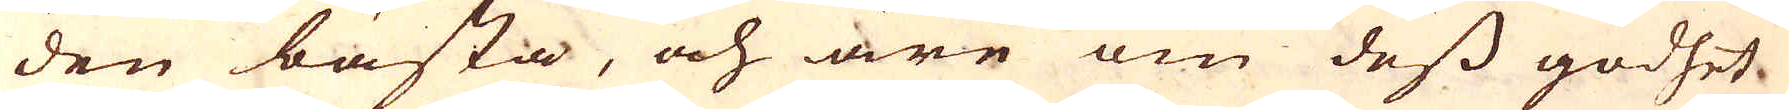den bästa, och äre om dess godhet
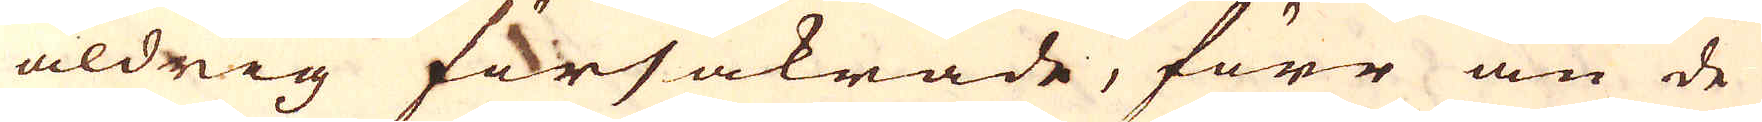aldrig försäkrade, förr än de
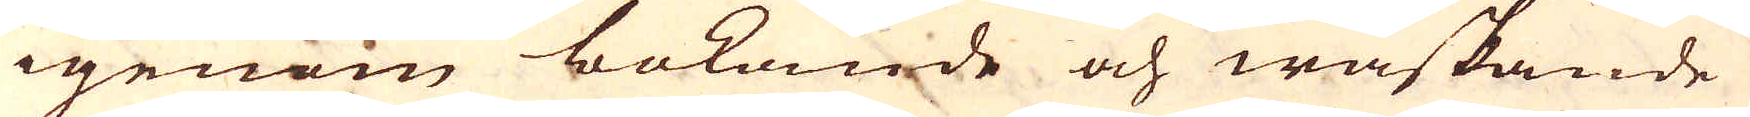igenom bokande och waskande
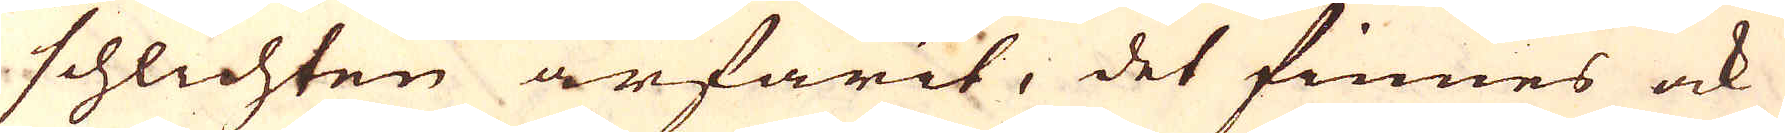schlichten ärfarit, det finnes ock
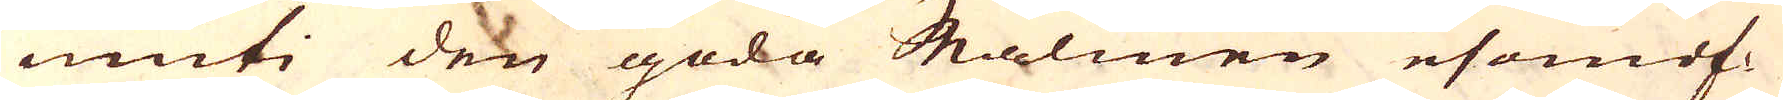inuti den goda Malmen esomof-
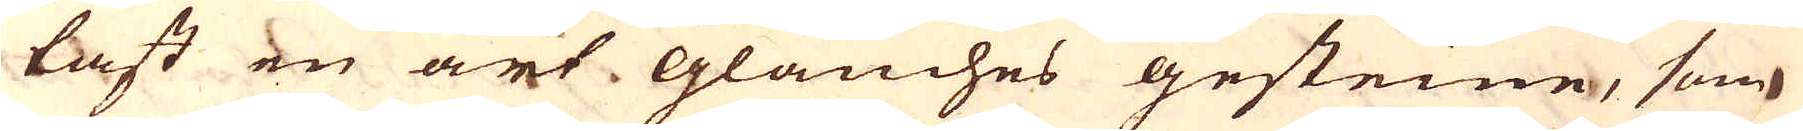tast en art Glauches gesteine, som
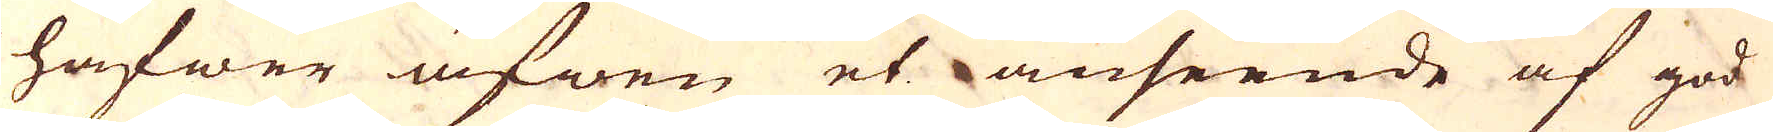hafwer äfwen et anseende af god
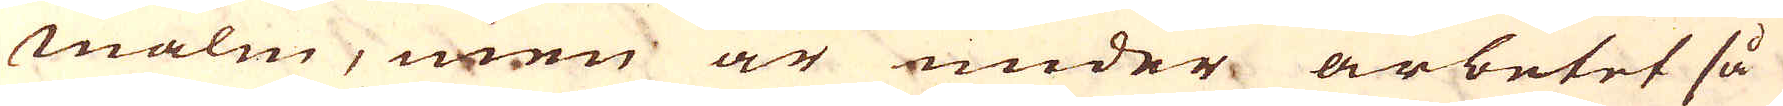malm, men är under arbetet så
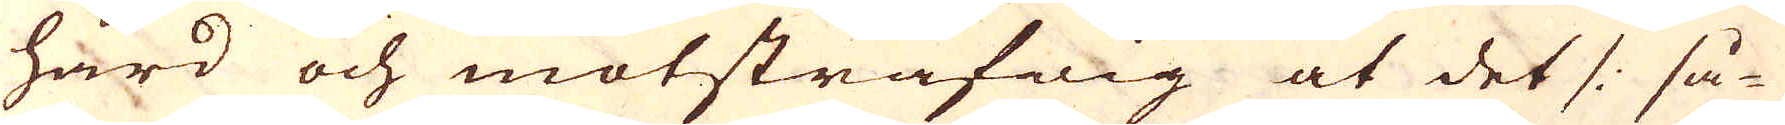hård och motsträfwig at det /: så-
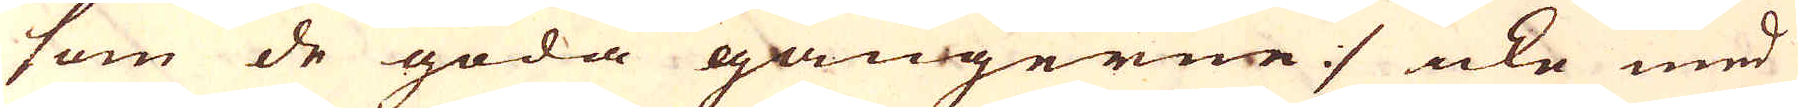som de goda gångerne :/ icke med
